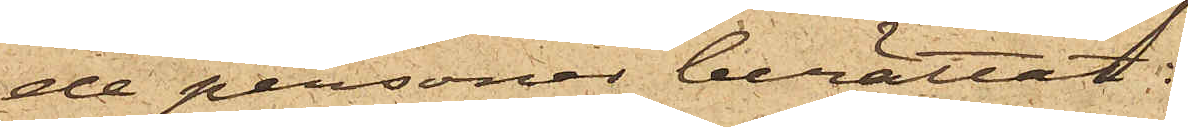de personer berättat:
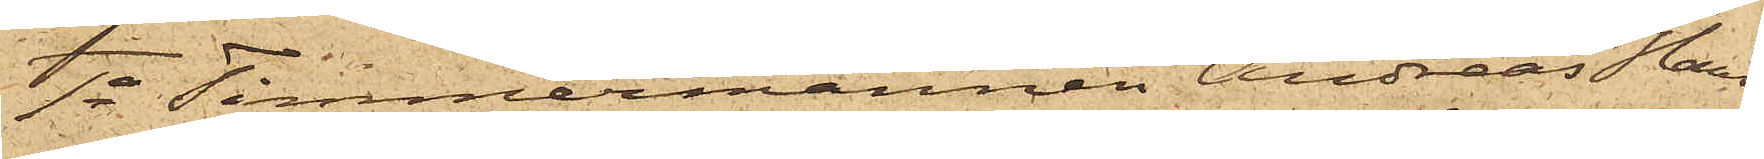1o Timmermannen Andreas Han¬
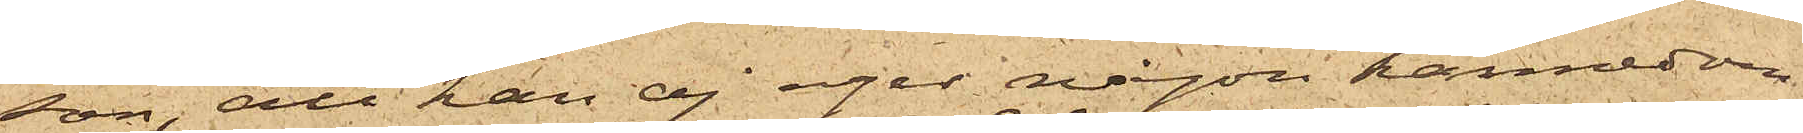son, att han ej eger någon kännedom
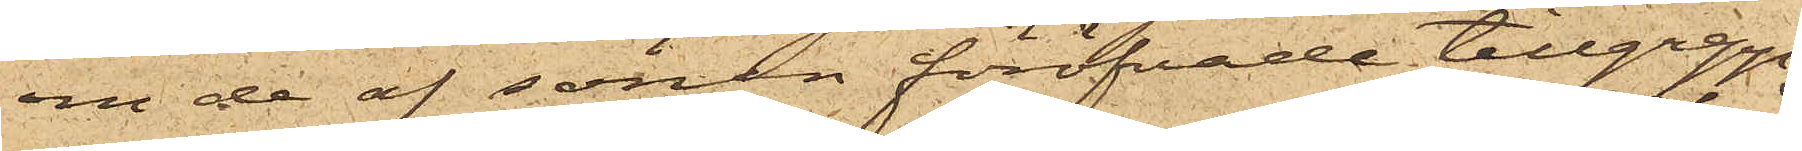om de af sonen föröfvade tillgrepp,
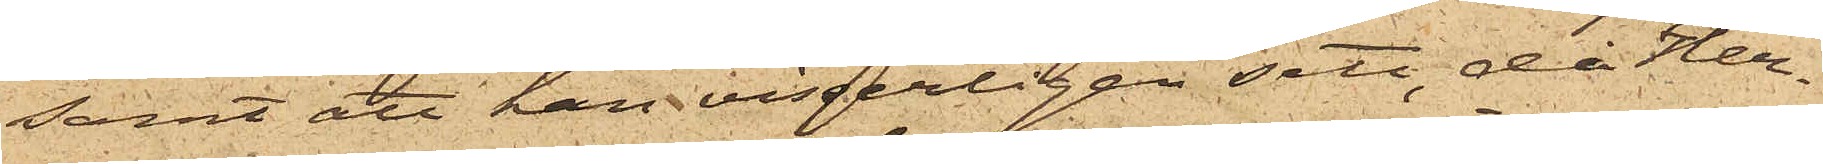samt att han visserligen sett, då Her¬
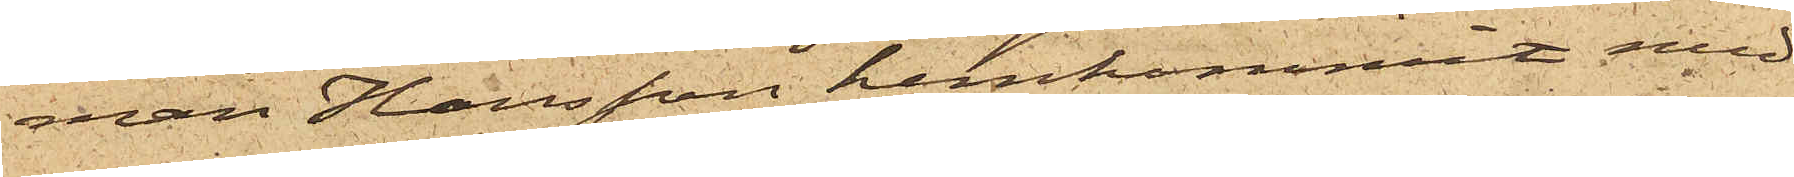man Hansson hemkommit med
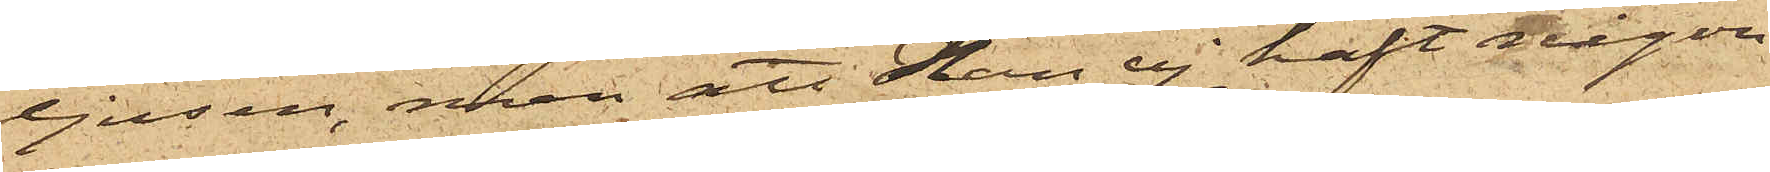ljusen, men att han ej haft någon
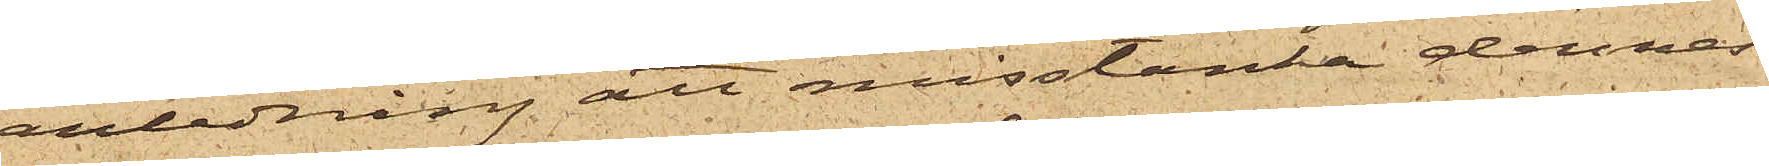anledning att misstänka dennes
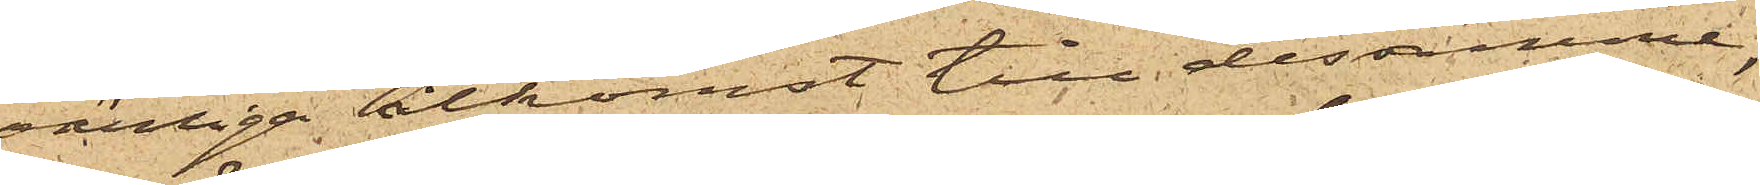oärliga åtkomst till desamme,
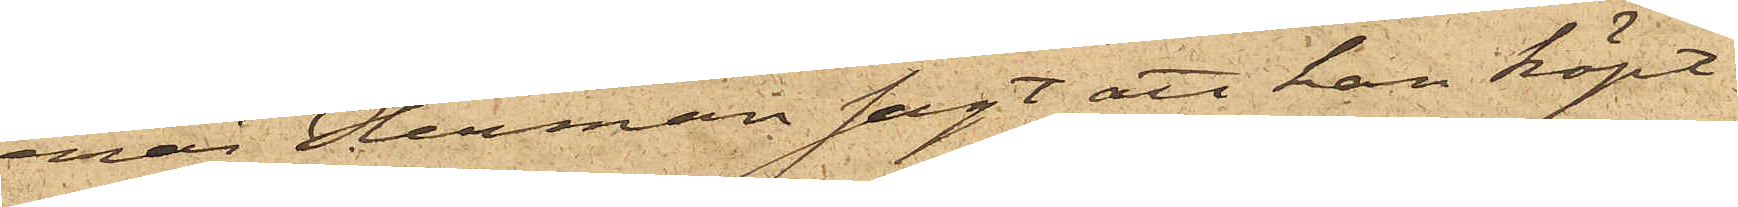enär Herman sagt att han köpt
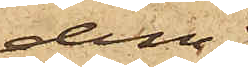dem;
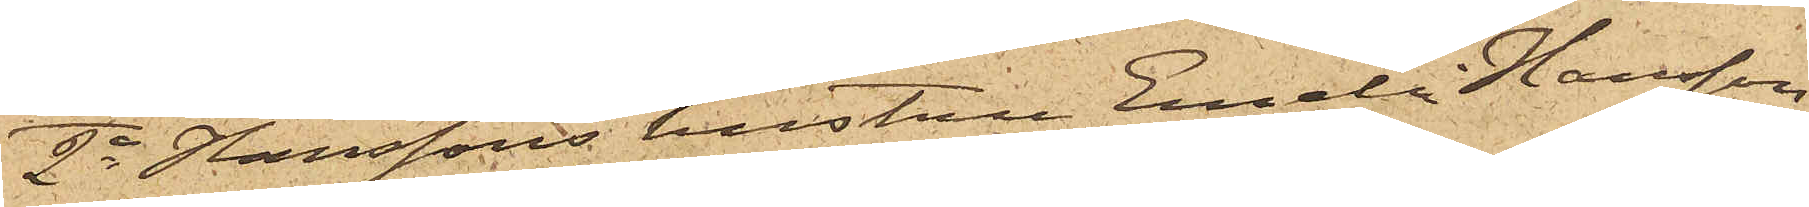2o Hanssons hustru Emelie Hansson
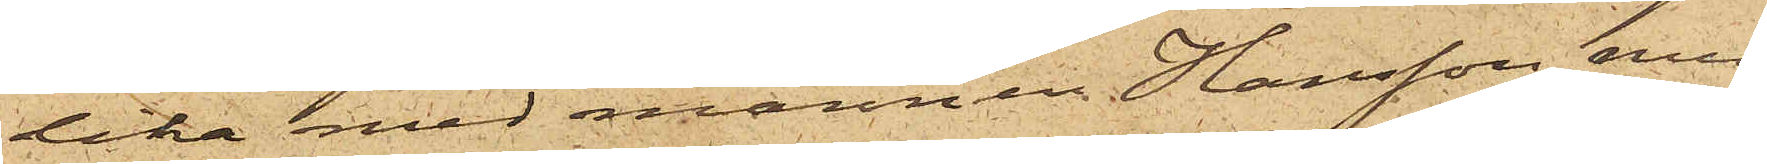lika med mannen Hansson, med
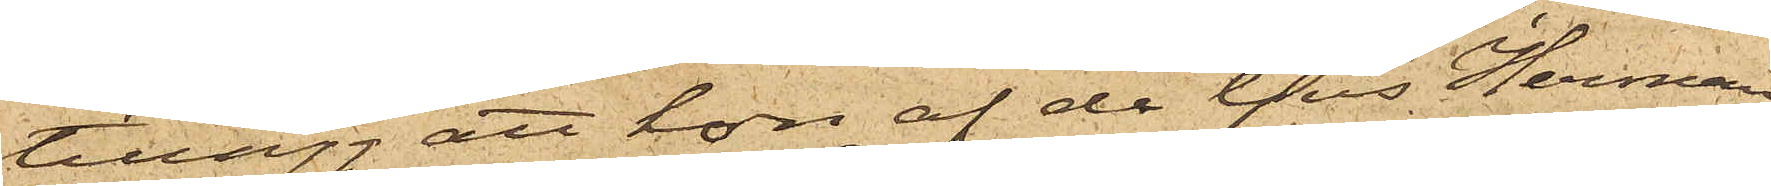tillägg att hon af de ljus Herman
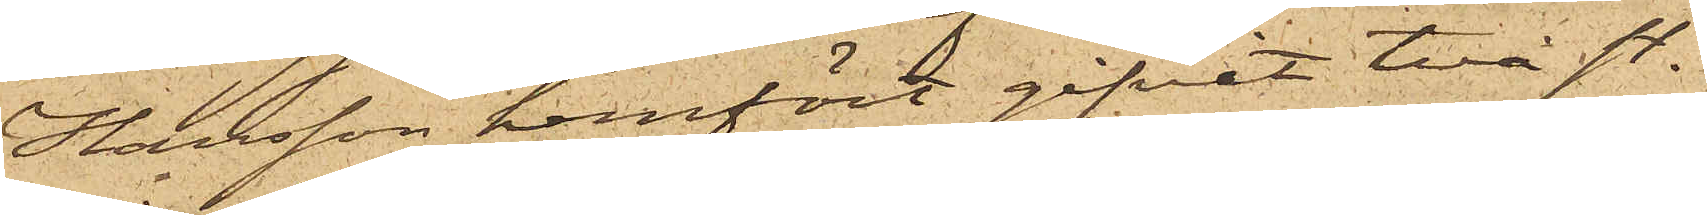Hansson hemfört gifvit två st.
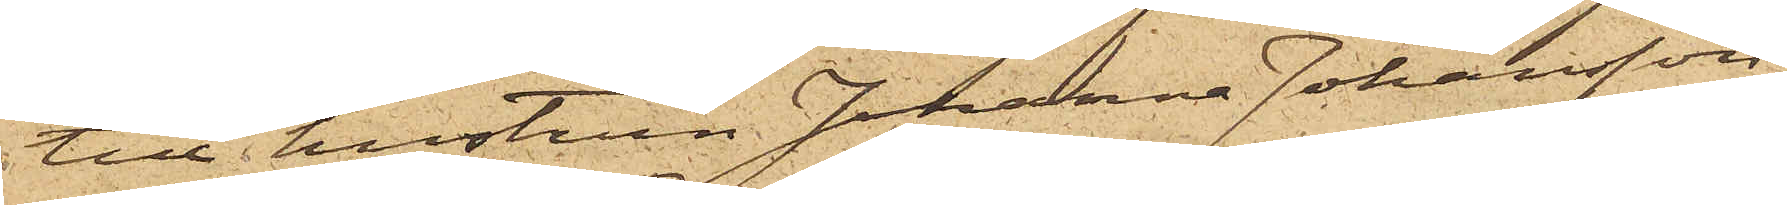till hustrun Johanna Johansson
